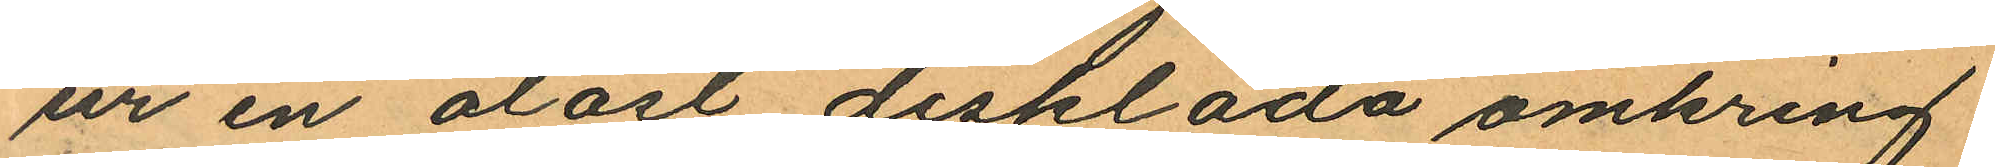ur en olåst disklåda omkring
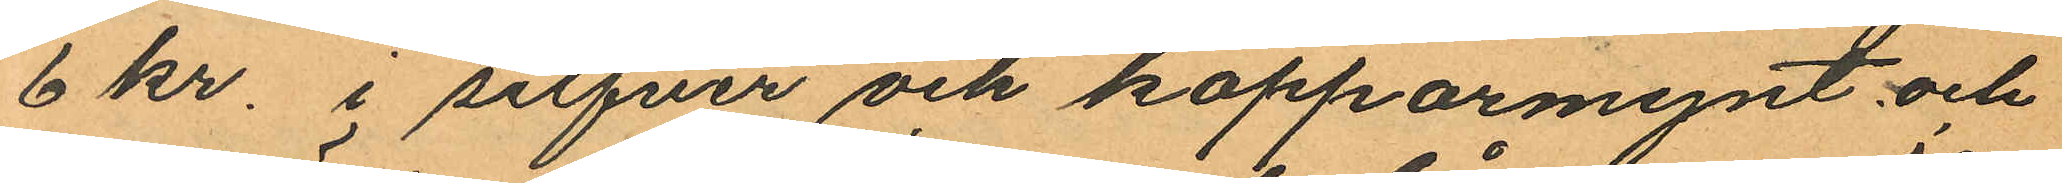6 kr. i silfver och kopparmynt och
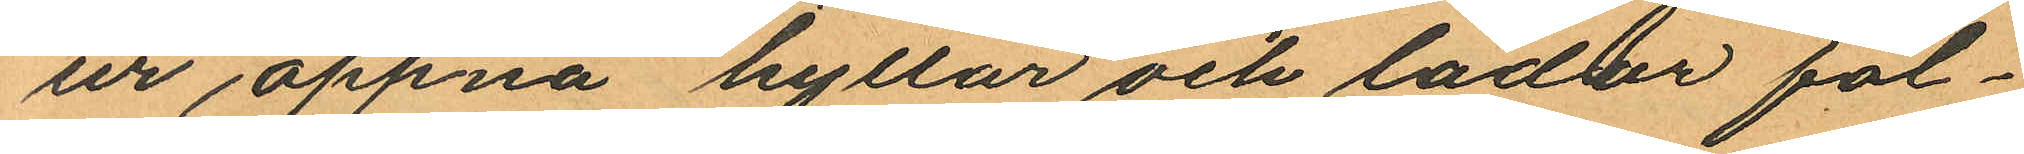ur öppna hyllor och lådor föl¬
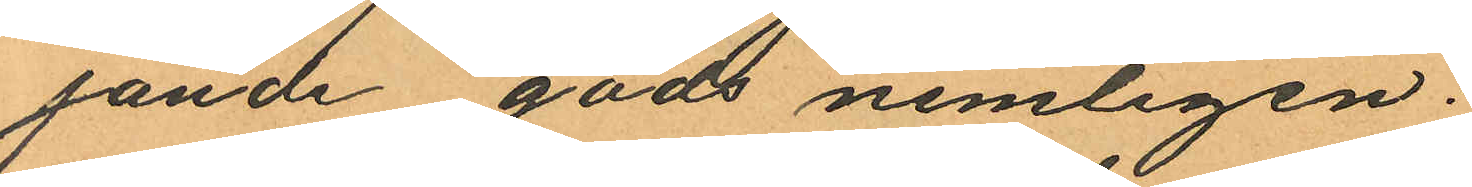jande gods nemligen:
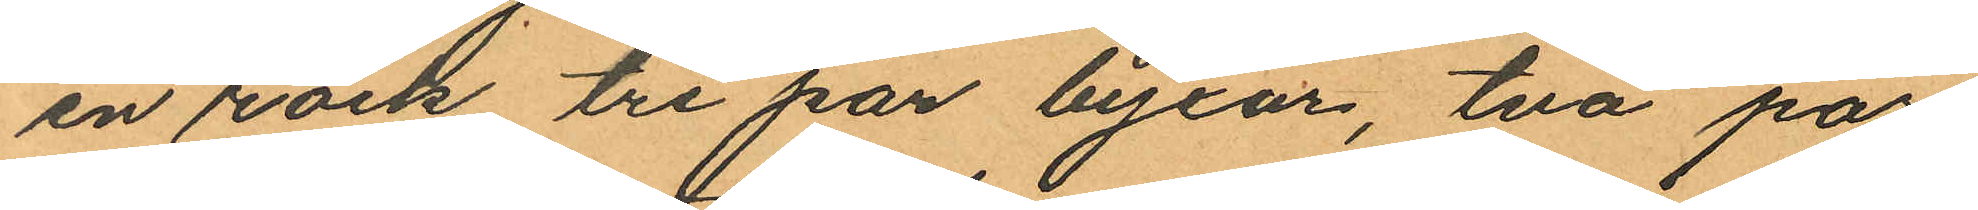en rock tre par byxor, två par
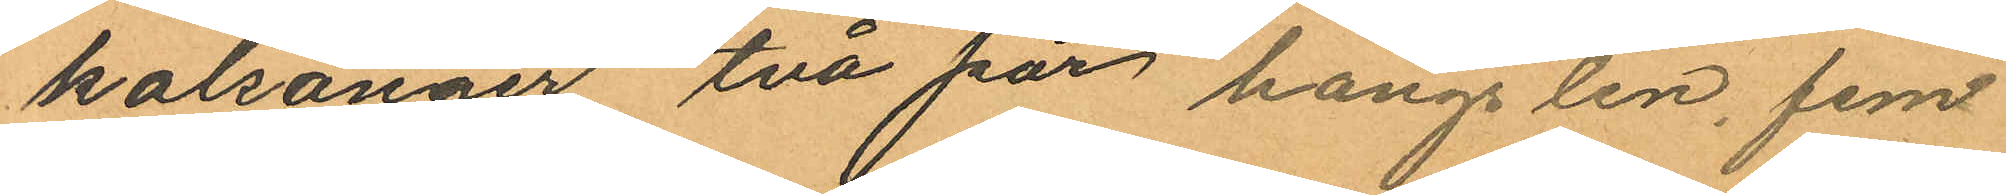kalsonger två par hängslen, fem
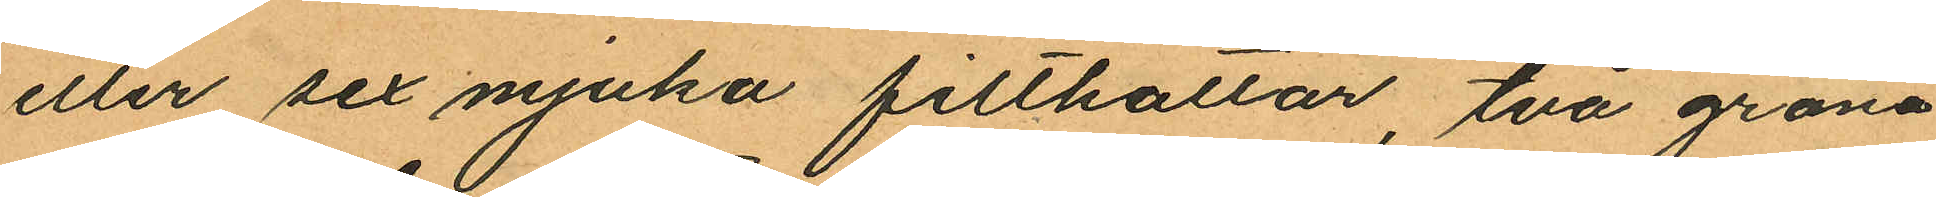eller sex mjuka filthatlar, två gröna
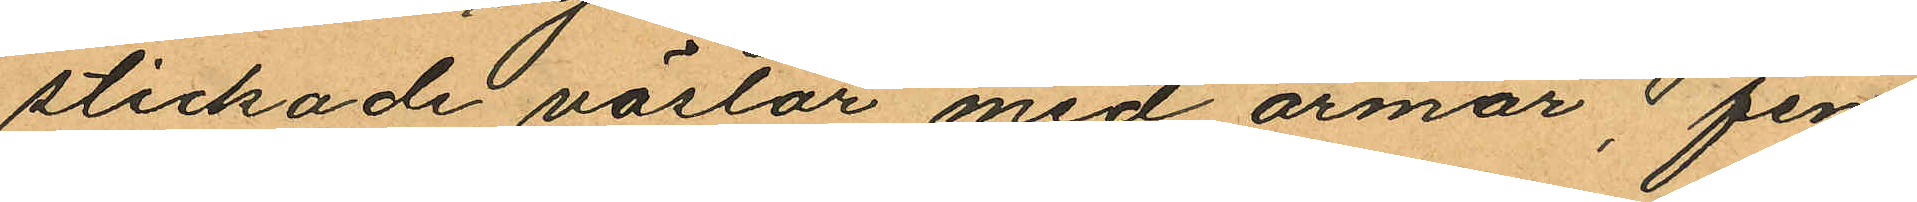stickade västar med ärmar, fem
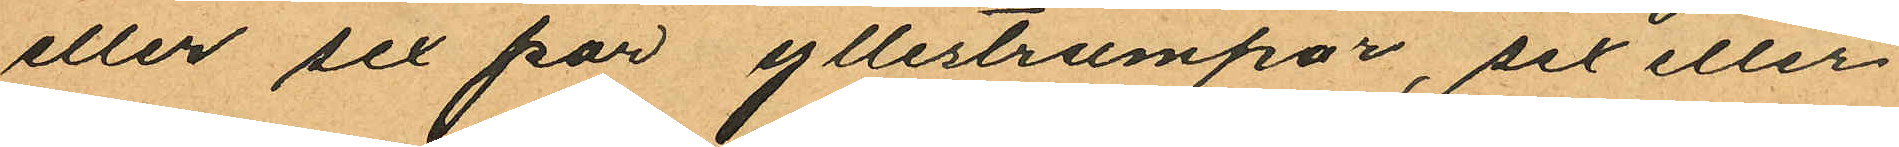eller sex par yllestrumpor, sex eller
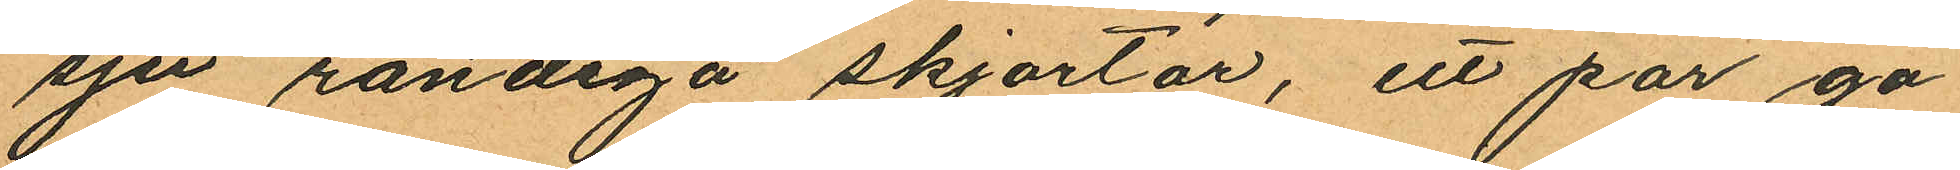sju randiga skjortor, ett par ga¬
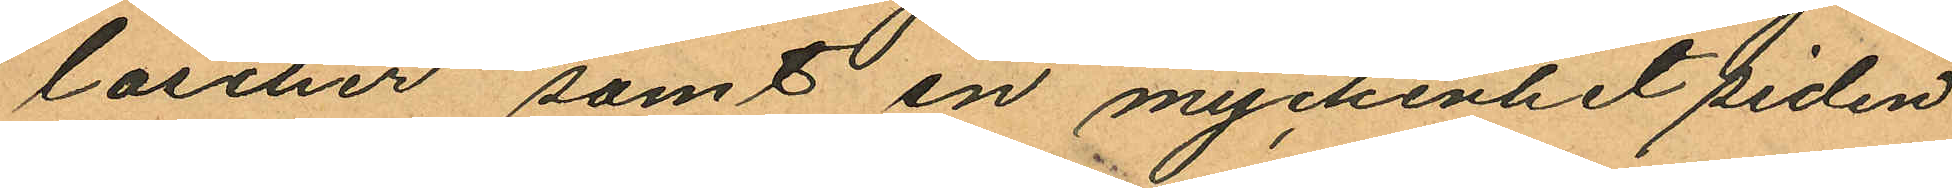loscher samt en myckenhet siden
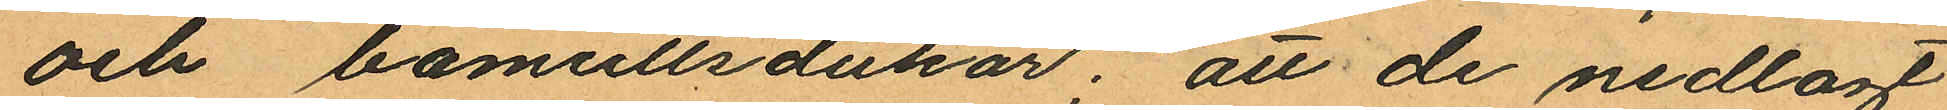och bomullsdukar; att de nedlagt
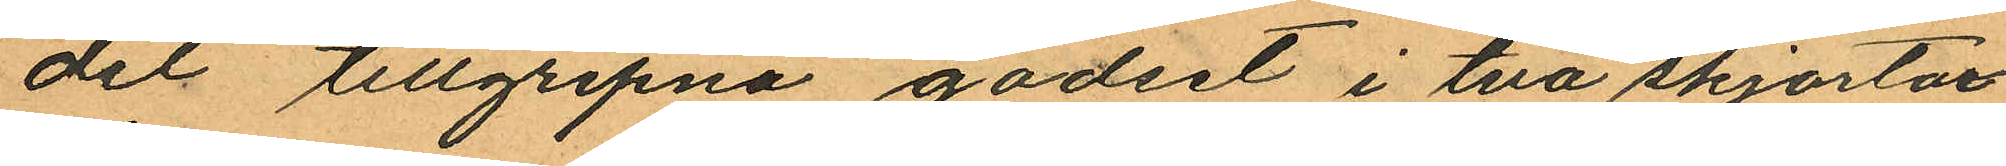del tillgripna godset i två skjortor
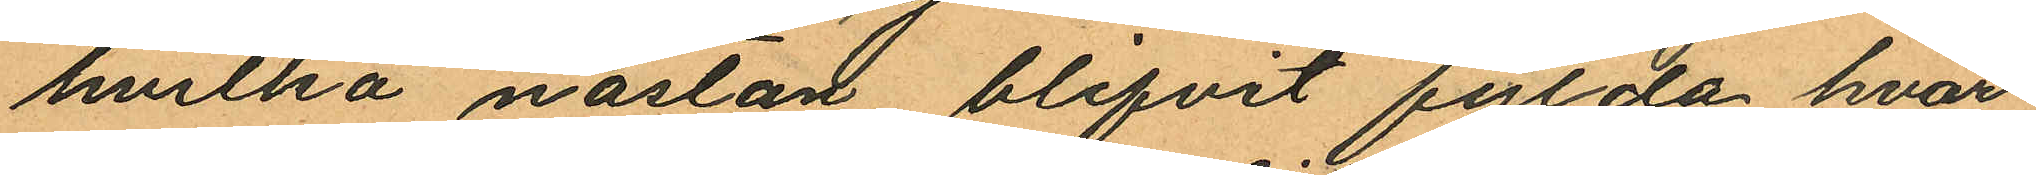hvilka nästan blifvit fylda hvar
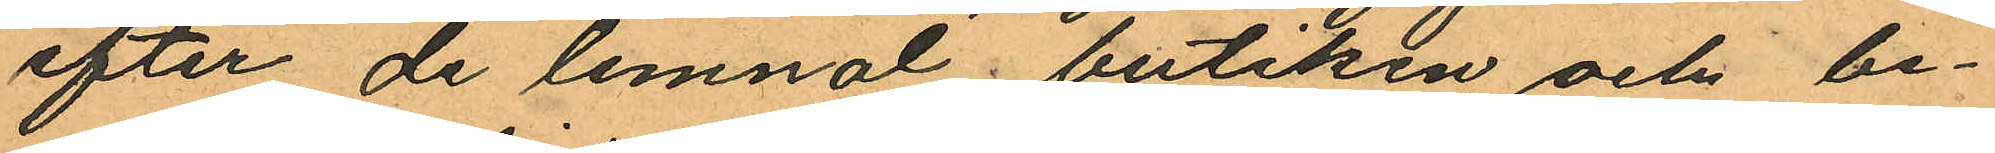efter de lemnat butiken och be¬
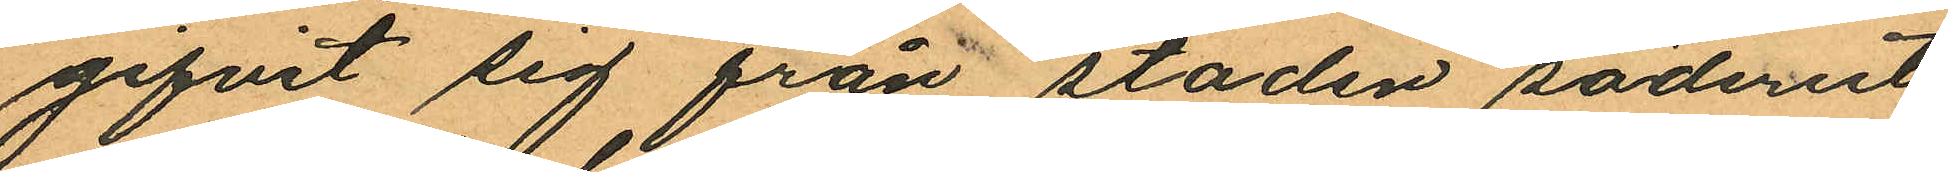gifvit sig från staden söderut
